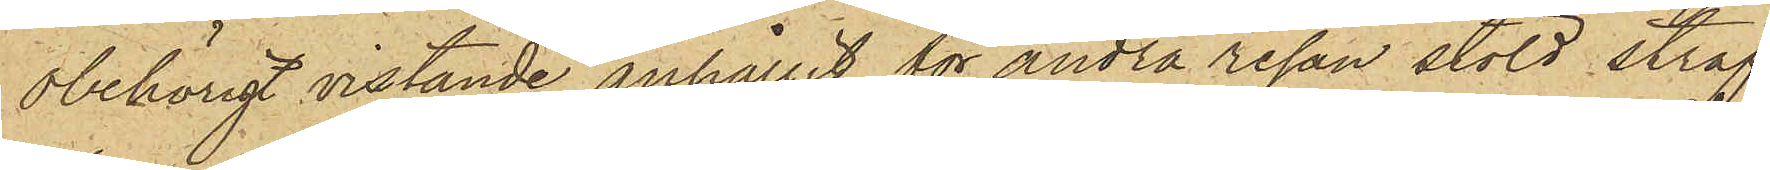obehörigt vistande anhållit för andra resan stöld straf¬
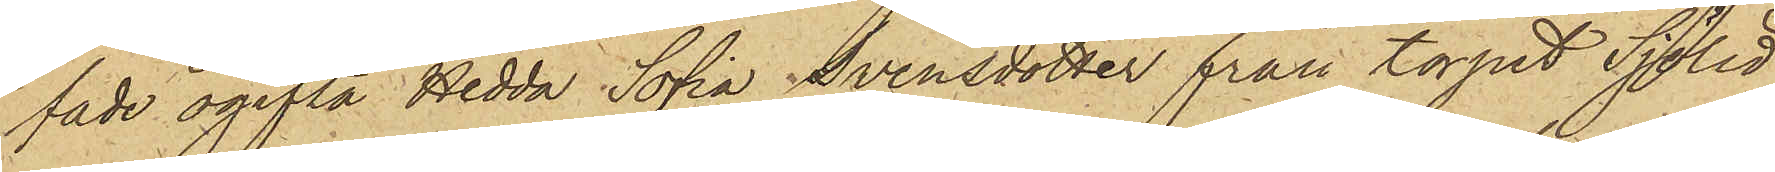fade ogifta Hedda Sofia Svensdotter från torpet Sjölid
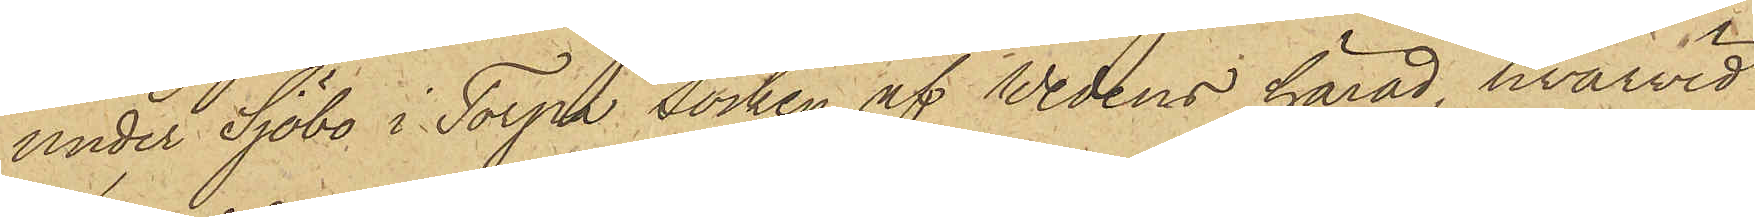under Sjöbo i Torpa socken af Wedens härad, hvarvid
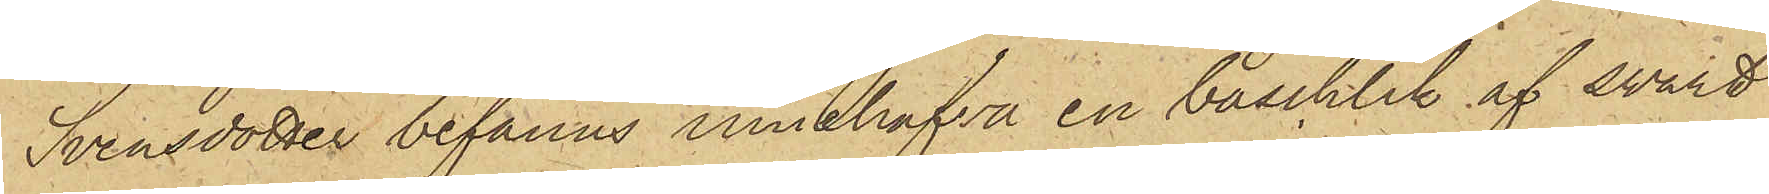Svensdotter befanns innehafva en baschlik af svart
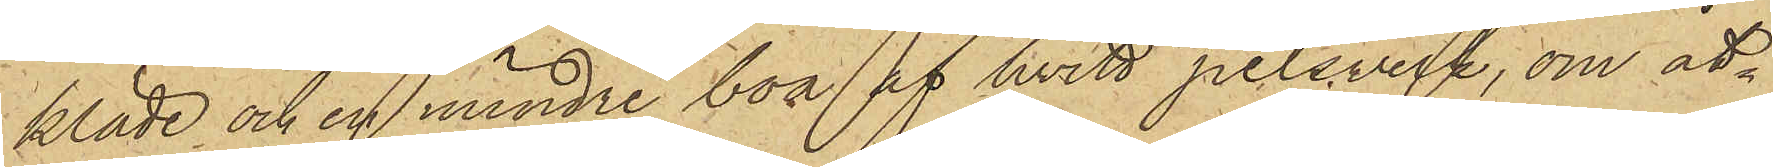kläde och en mindre boa at hvitt pelsverk, om åt¬
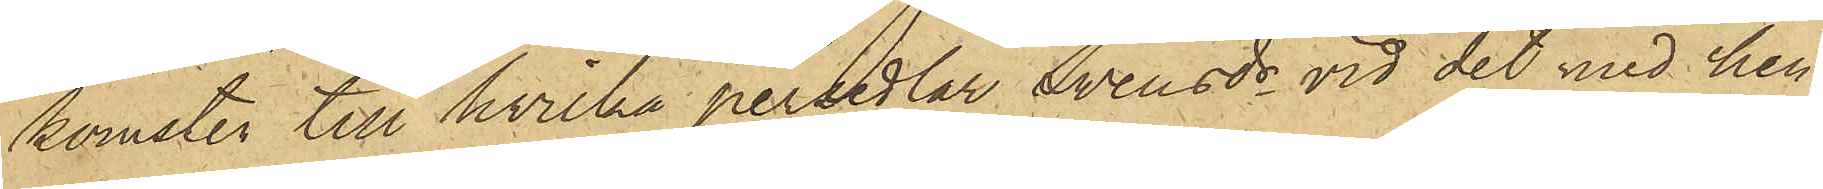komster till hvilka persedlar Svensdr vid det med hen¬
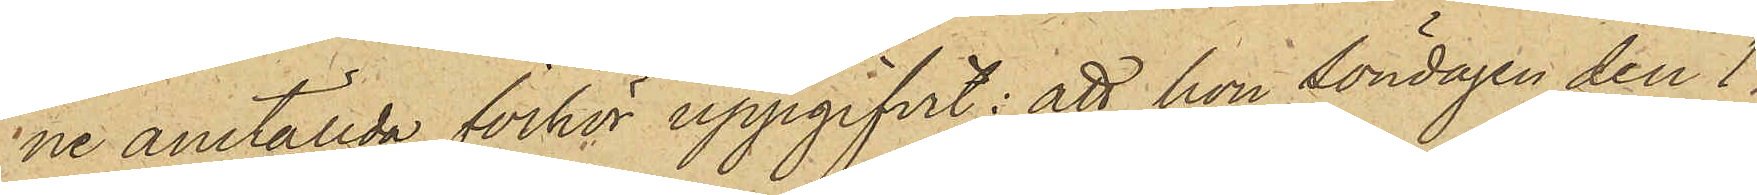ne anställda förhör uppgifvit: att hon söndagen den 1
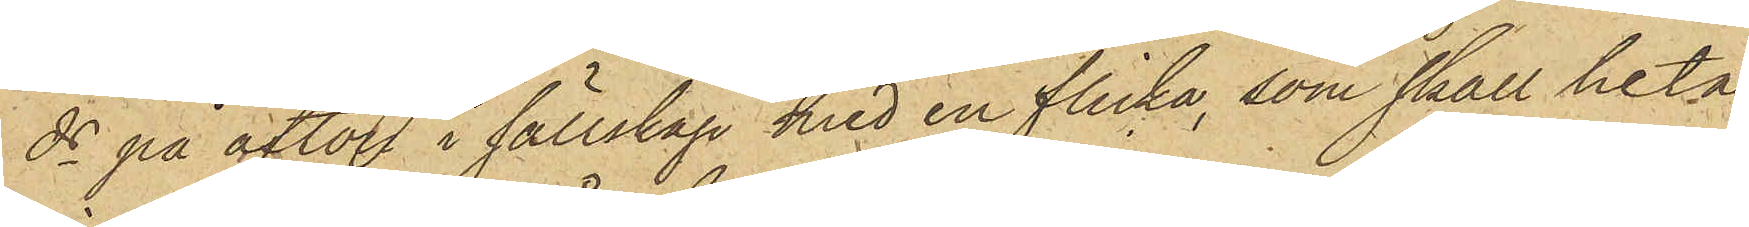ds på afton i sällskap med en flicka, som skall heta
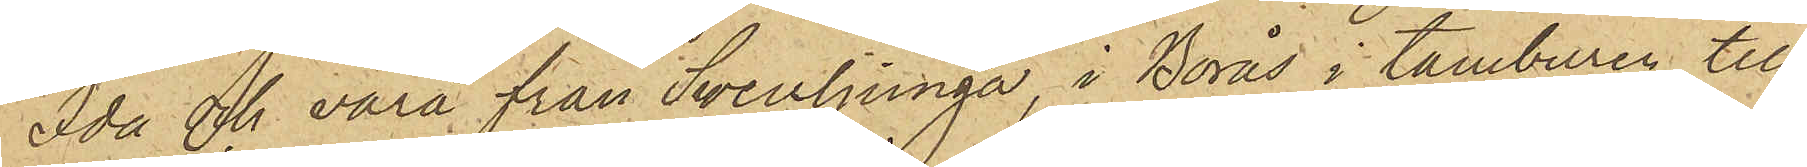Ida och vara från Svenljunga, i Borås i tamburen till
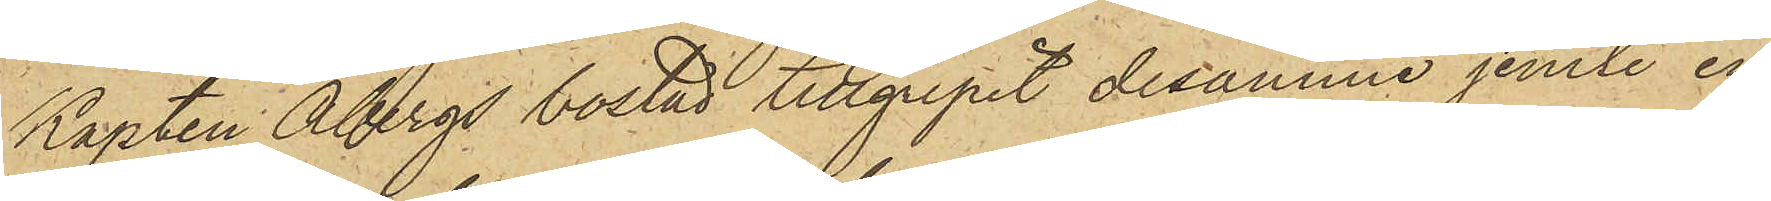Kapten Åbergs bostad tillgripit desamme jemte en
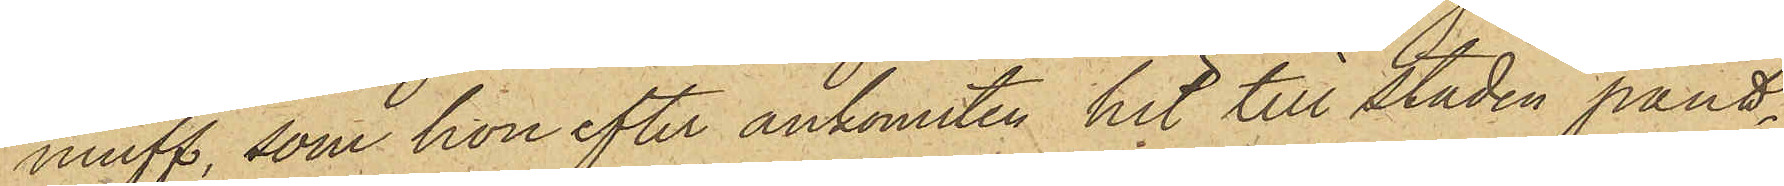muff, som hon efter ankomsten hit till staden pant¬
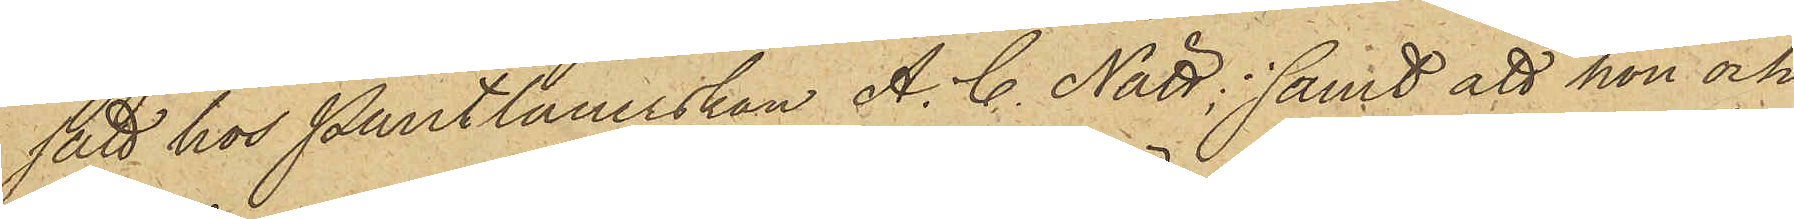satt hos Pantlånerskan A. C. Nätt; samt att hon och
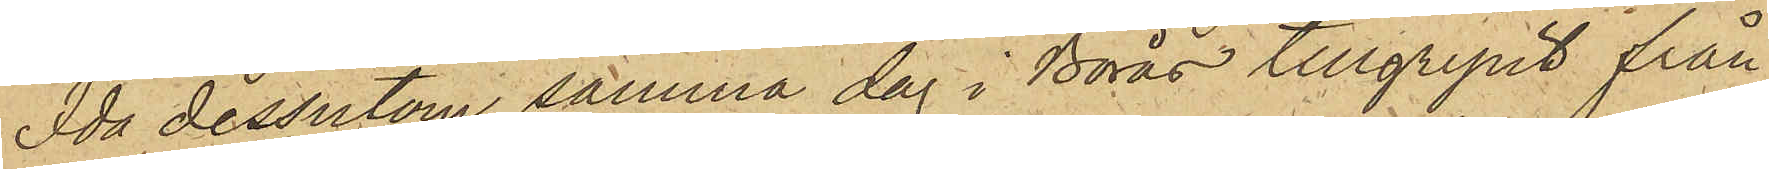Ida dessutom samma dag i Borås tillgripit från
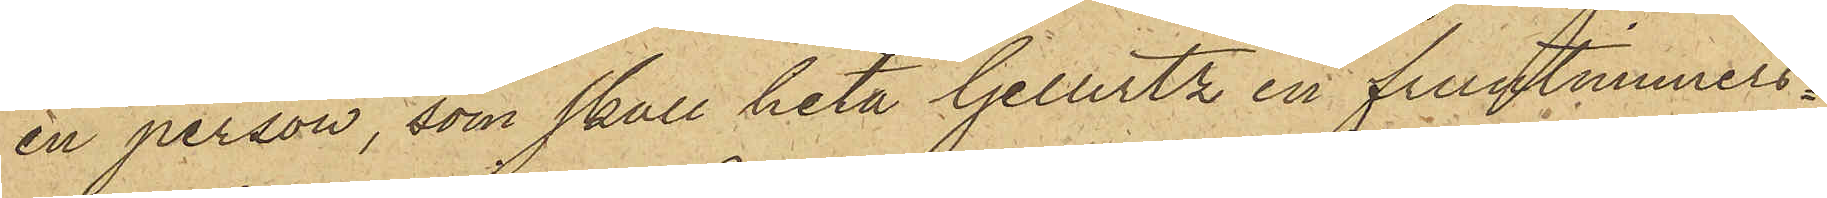en person, som skall heta Gellertz en fruntimmers¬
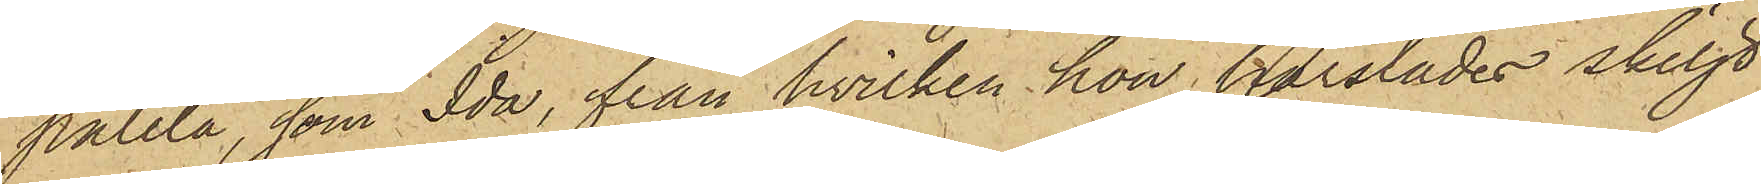paletå som Ida, från hvilken hon härstädes skiljt
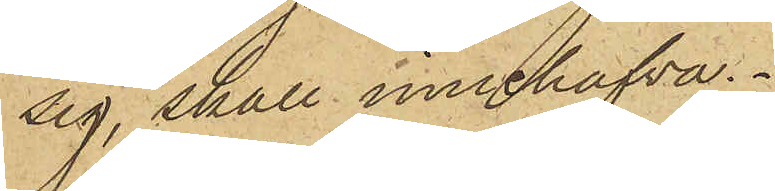sig, skall innehafva.
